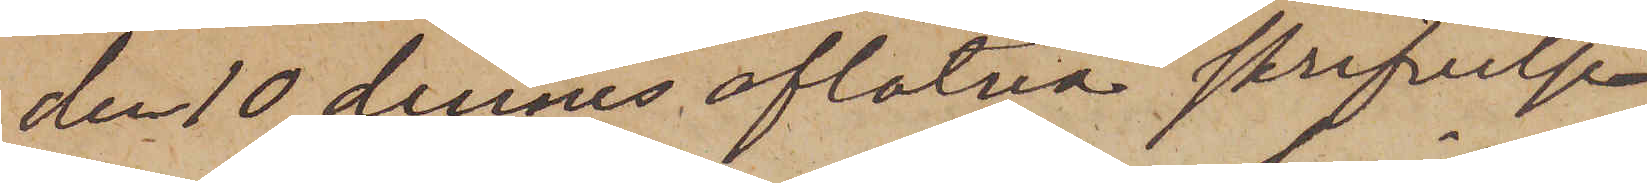den 10 dennes aflåtna skrifvelse
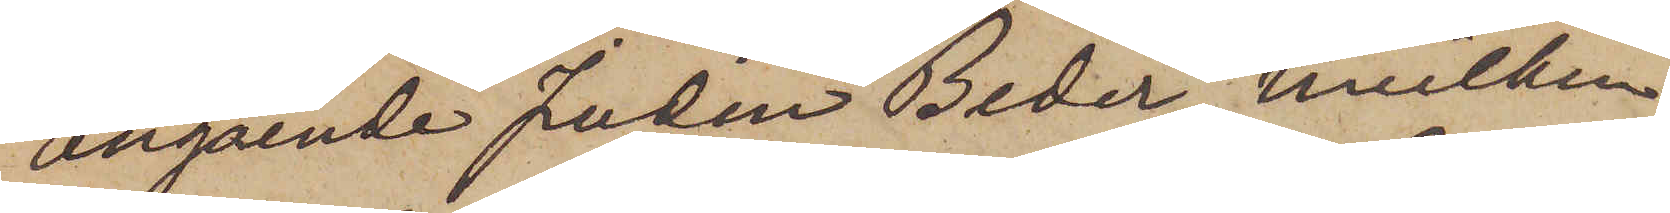angående Juden Beder, hvilken
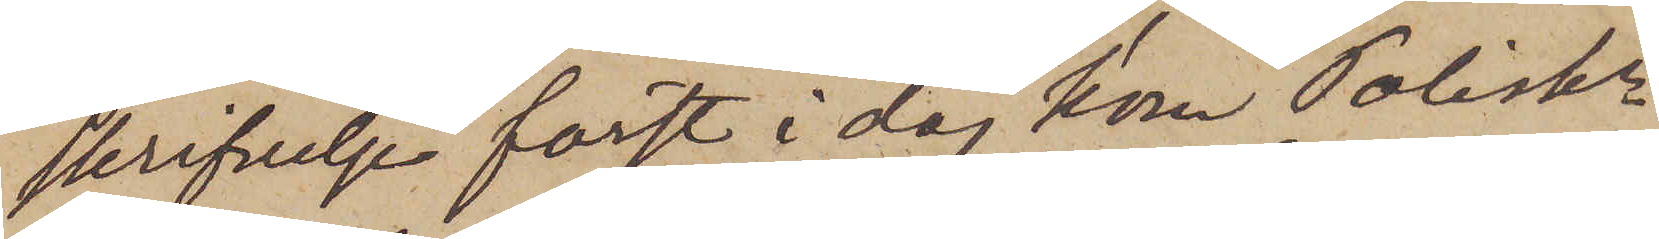skrifvelse först i dag kom Poliskr
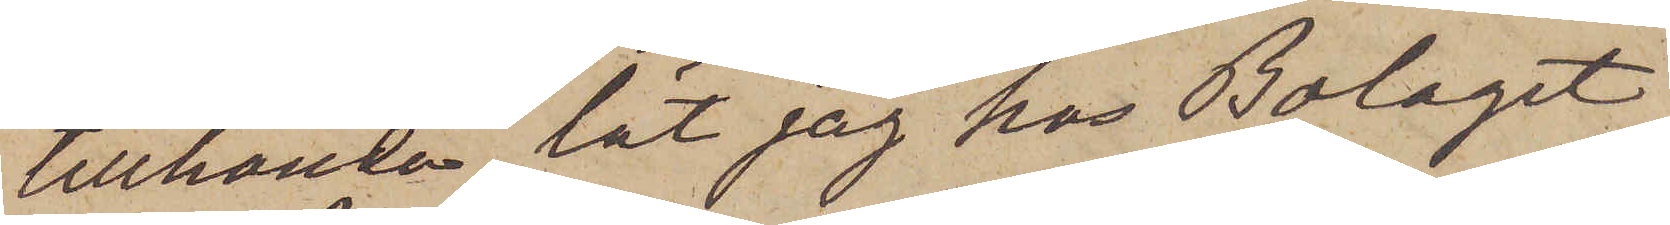tillhanda, lät jag hos Bolaget
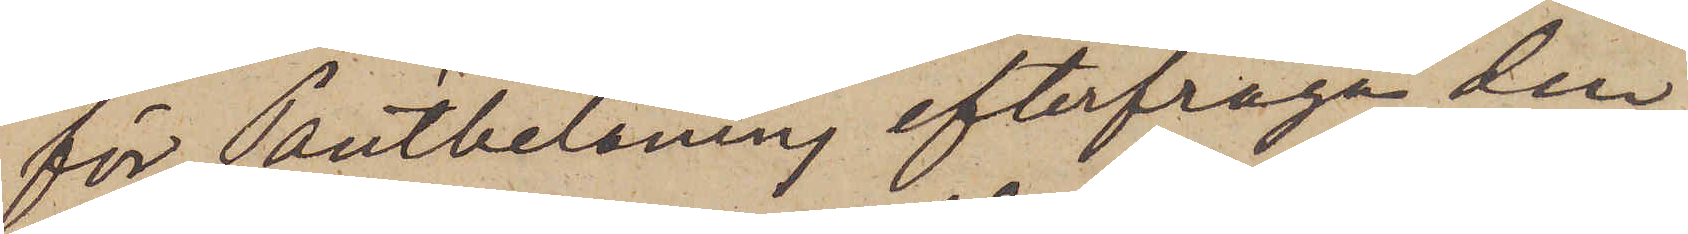för Pantbelåning efterfråga den
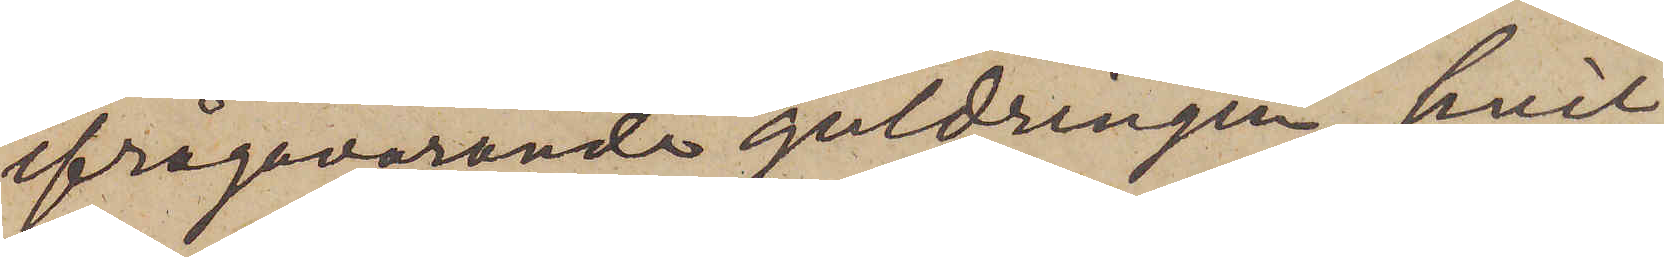ifrågavarande guldringen, hvil¬
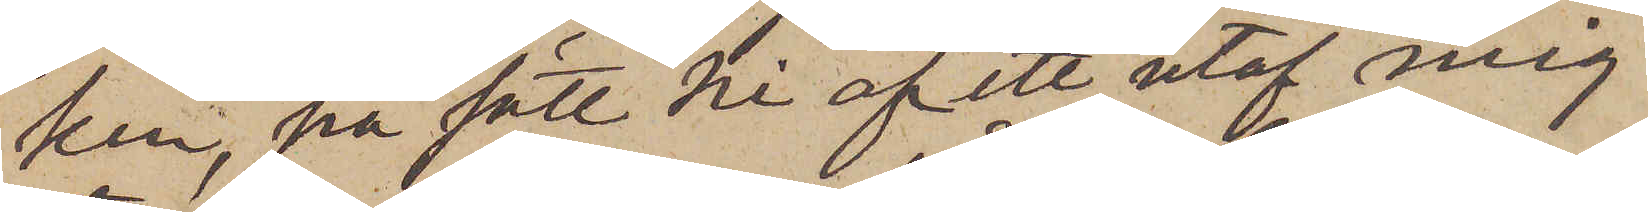ken, på sätt Ni af ett utaf mig
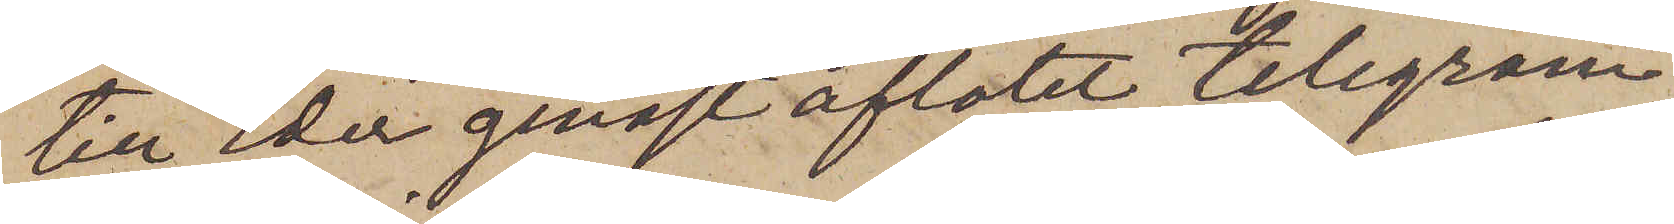till Eder genast aflåtet telegram
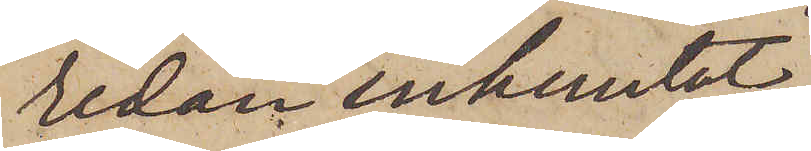redan inhemtat,
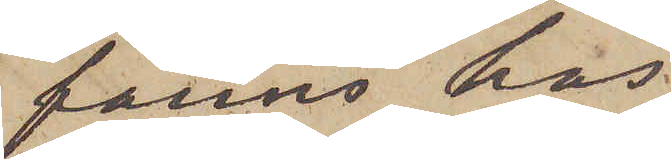fanns hos
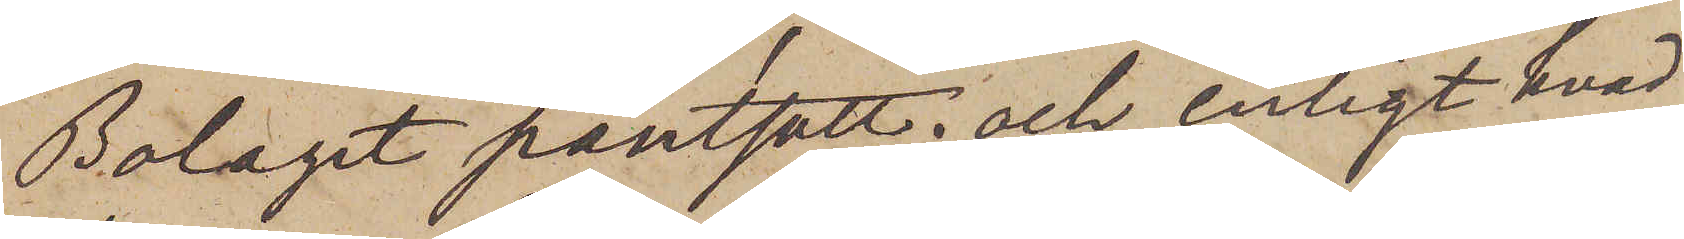Bolaget pantsatt; och, enligt hvad
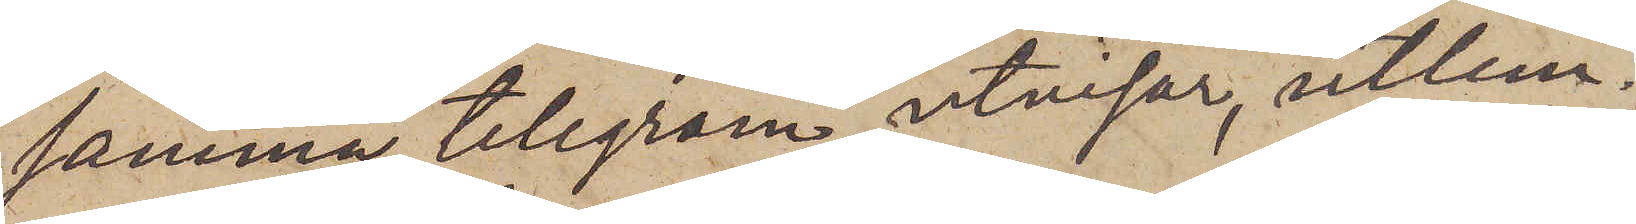samma telegram utvisar, utlem¬
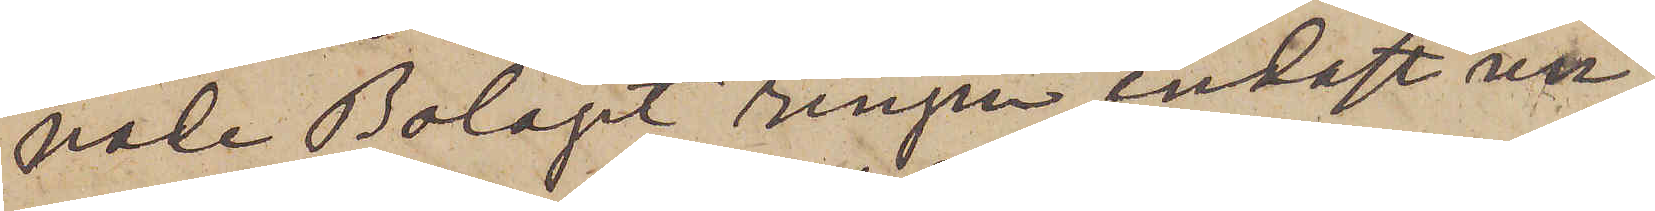nade Bolagt ringen endast un¬
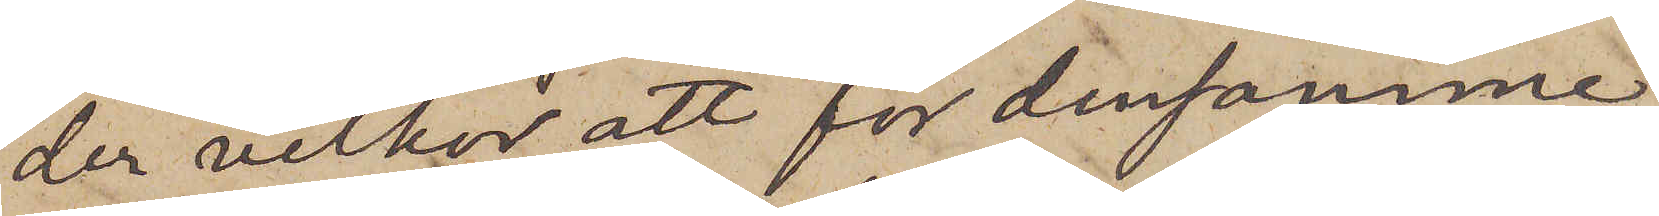der vilkor, att för densamme
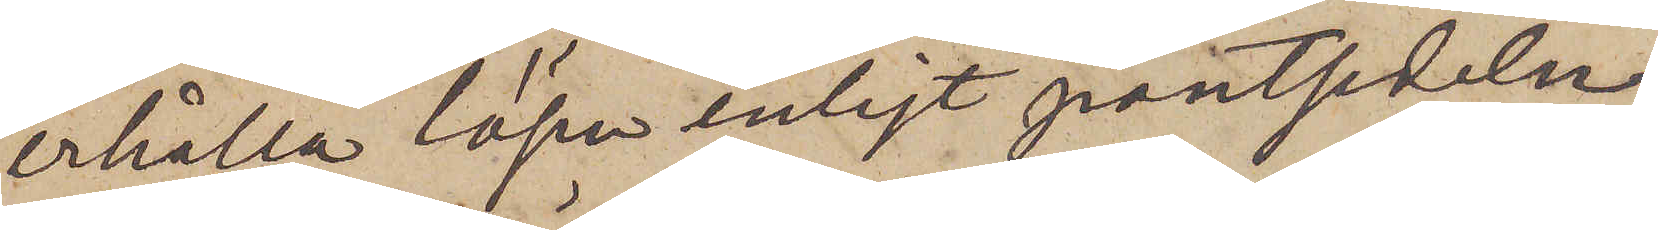erhålla lösen enligt pantsedeln.
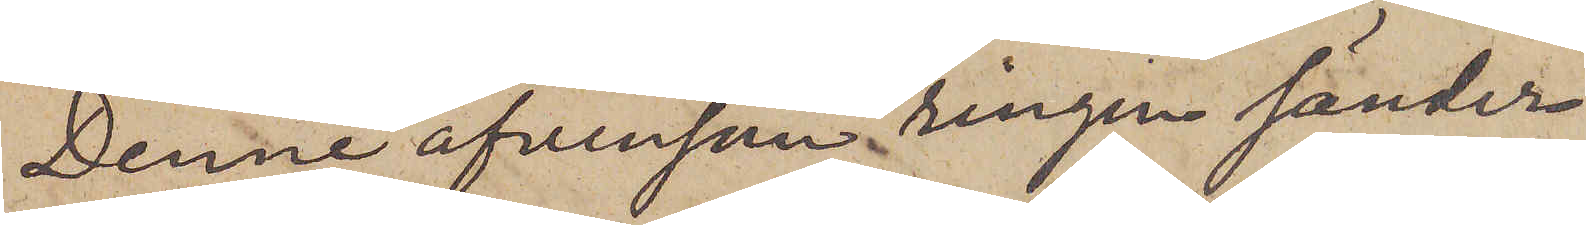Denne äfvenson ringen sänder
